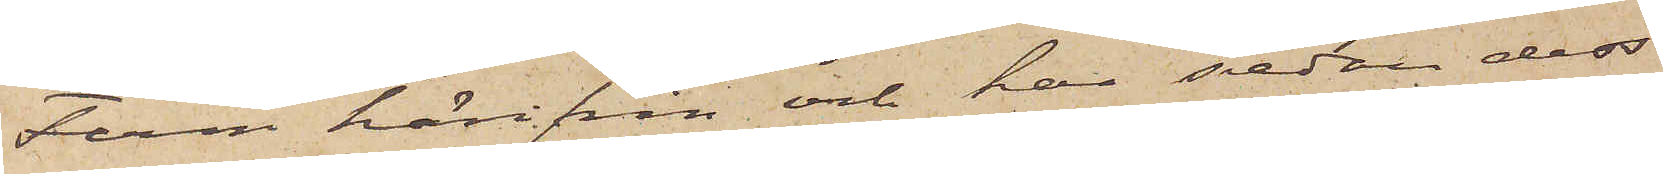Ferm härifrån och har sedan dess
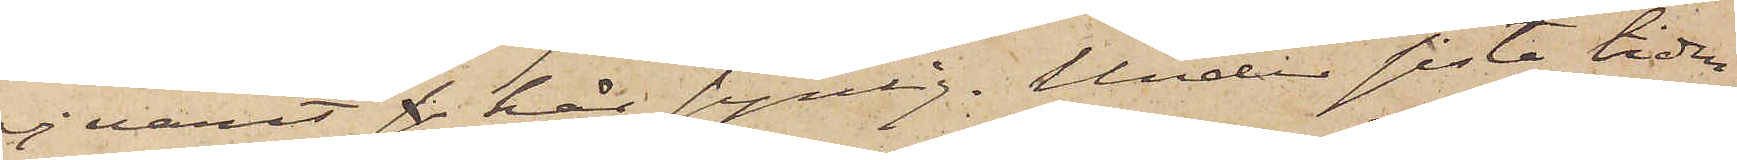ej varit s här synlig. Under sista tiden
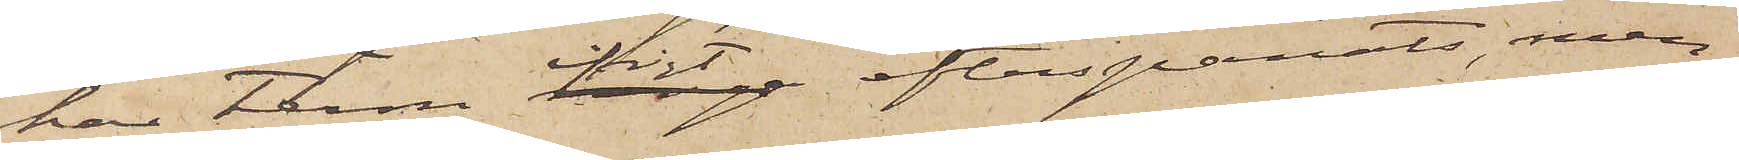har Ferm ifrigt efterspanats, men
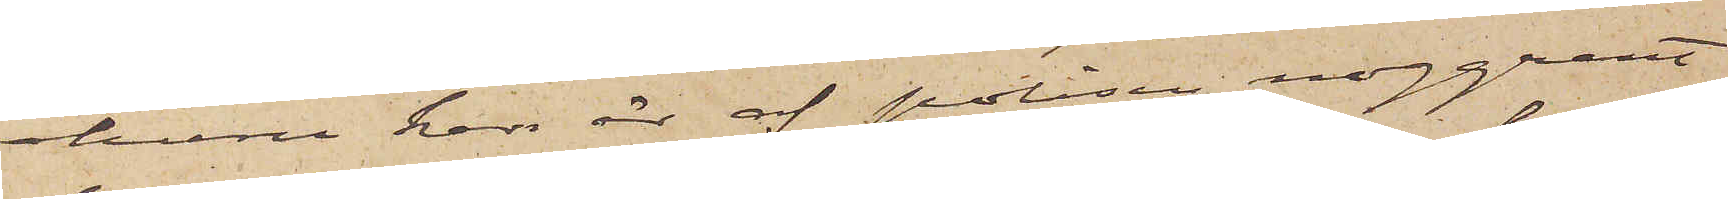ehuru han är af polisen noggrant
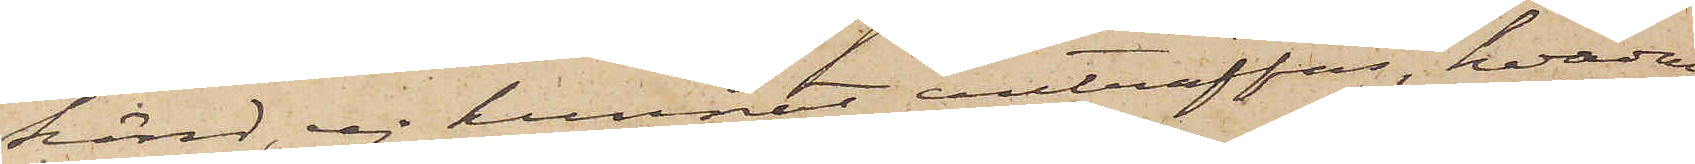känd, ej kunnat anträffas, hvadan
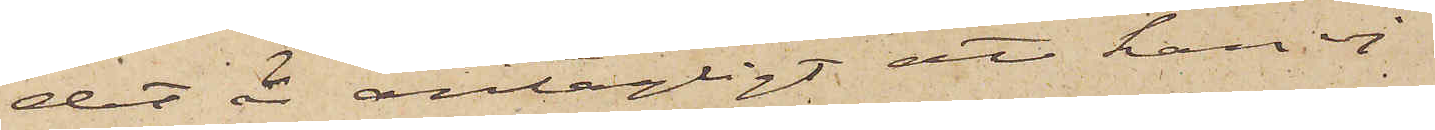det är antagligt att han ej
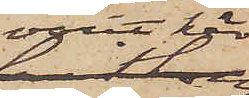varit här.
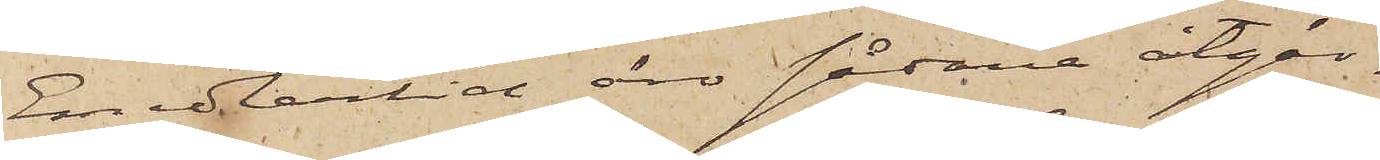Emedlertid än sådana åtgär¬
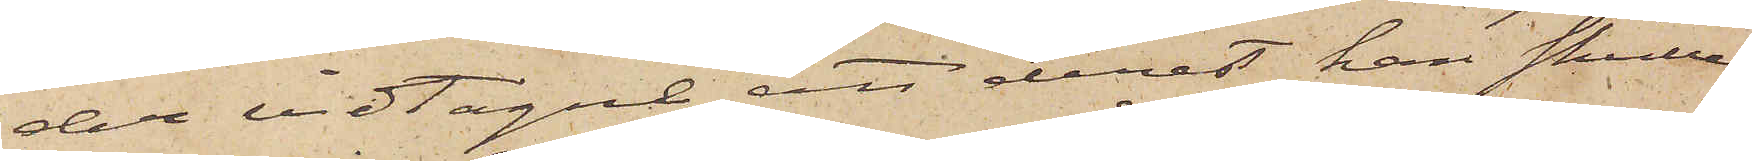der vidtagne, att derest han skulle
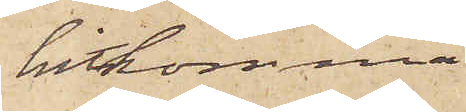hitkomma
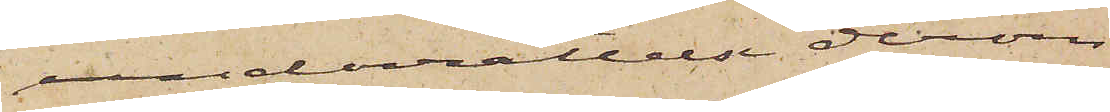underrättelse derom
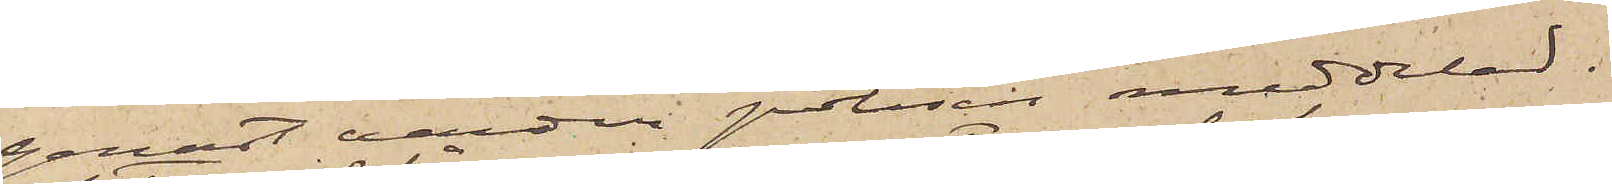genast varder polisen meddelad.
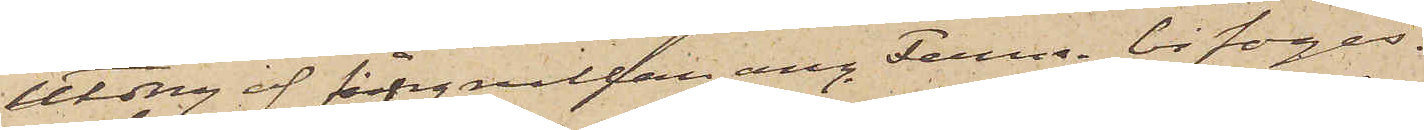Utdrag af fångrullan ang. Ferm bifogas.
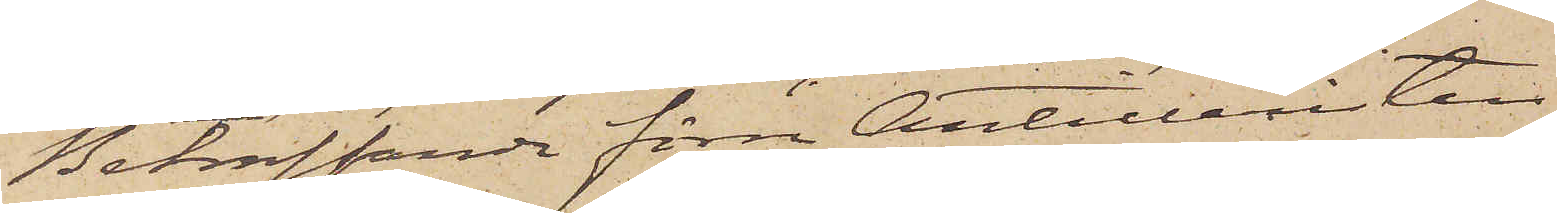Beträffande förre Artilleristen
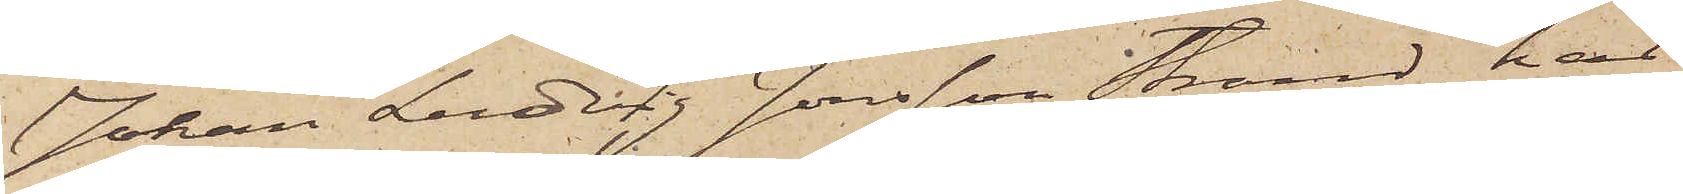Johan Ludvig Jonsson Strand, har
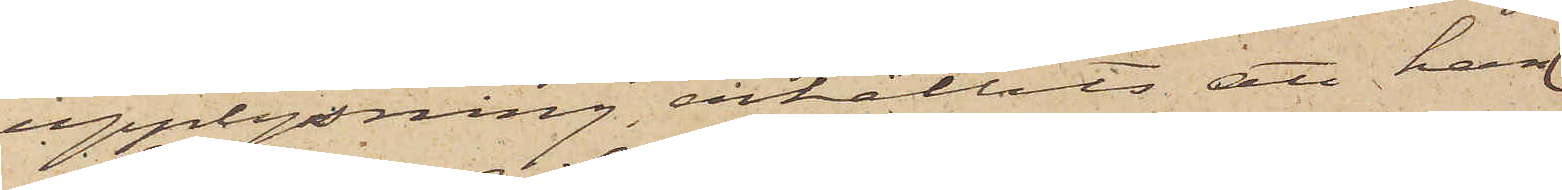upplysning erhållits att han
